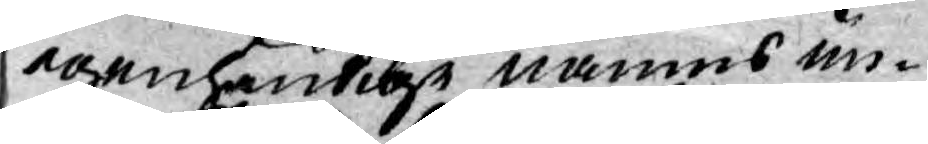egenhändige namns un¬
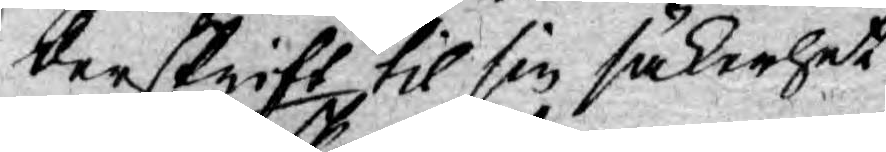derskrift til sin säkerhet
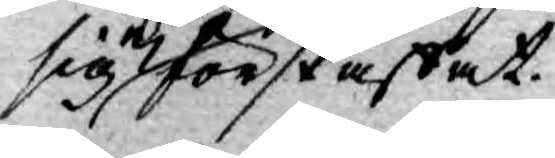sig ej förskaffat.
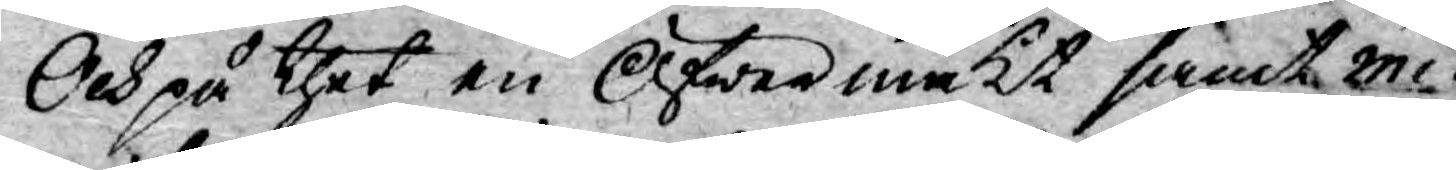Och på thet en Öfwermakt samt mi¬
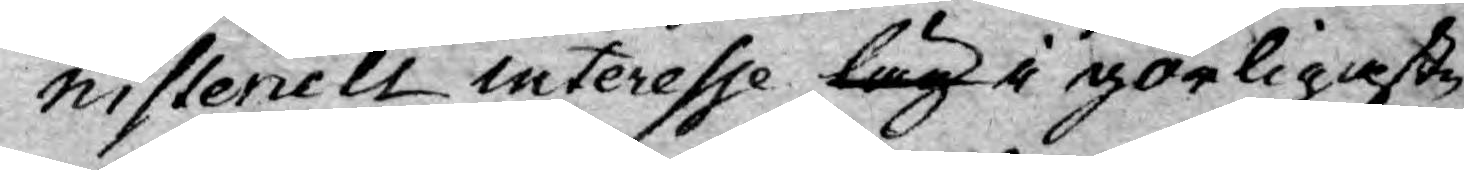nisteriell interesse låg i görligaste
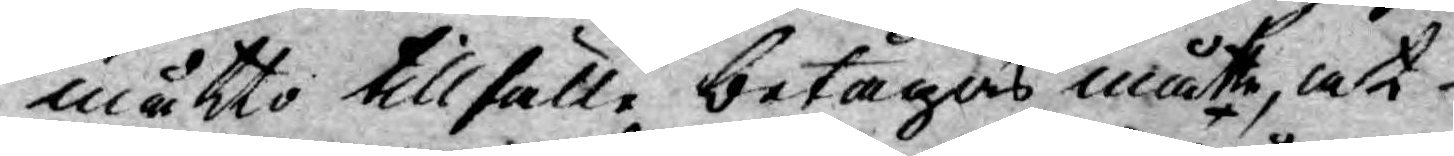måtto tillfälle betagas måtte, at
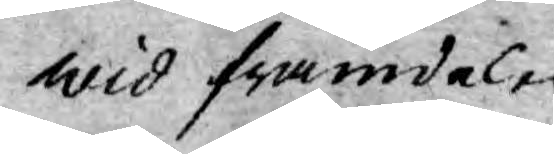wid framdeles
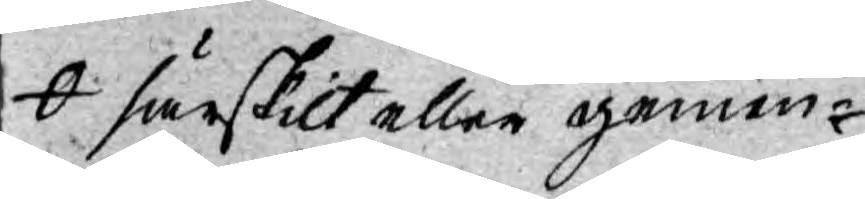särskilt eller gemen¬
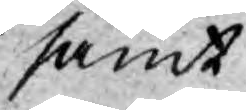samt
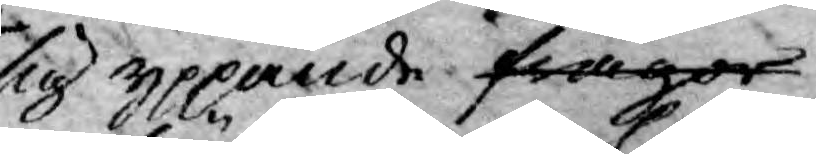sig yppande frågor
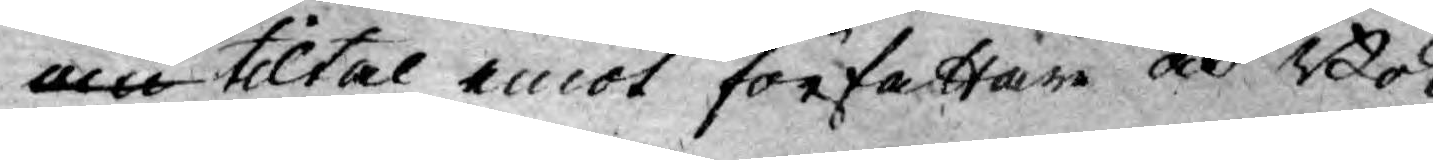om tiltal emot författare och Bok¬
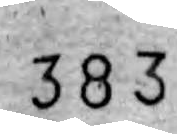383
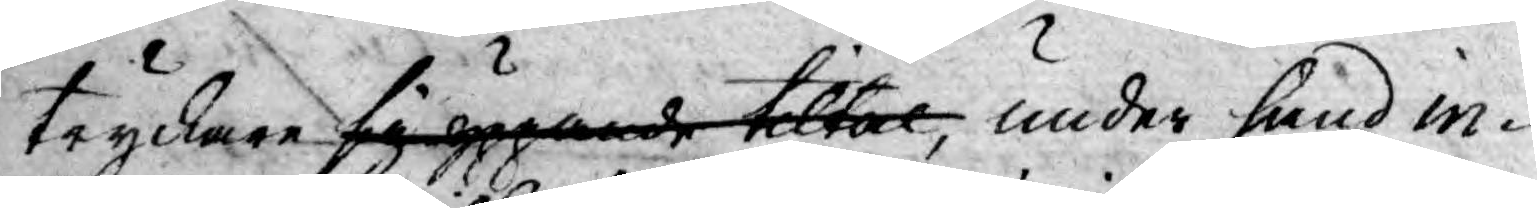tryckare sig yppande tiltal, under hand in¬
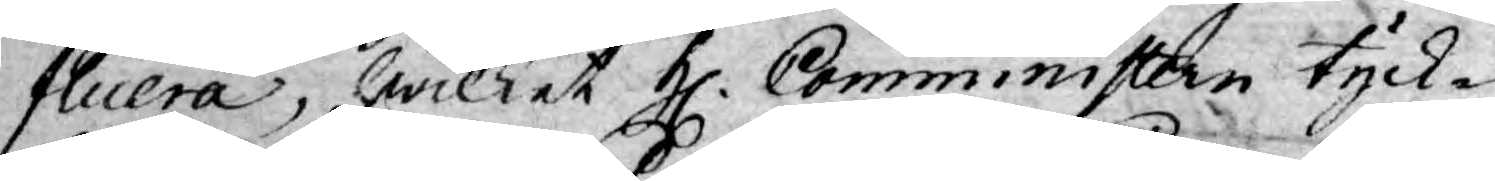fluera, hwilket H. Comministern tyck¬
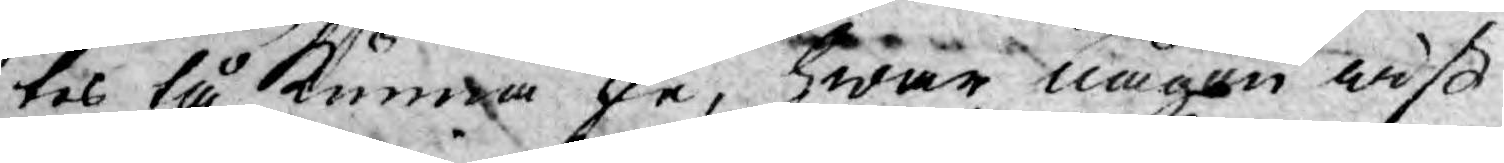tes tå kunna ske, hwar någon wiß
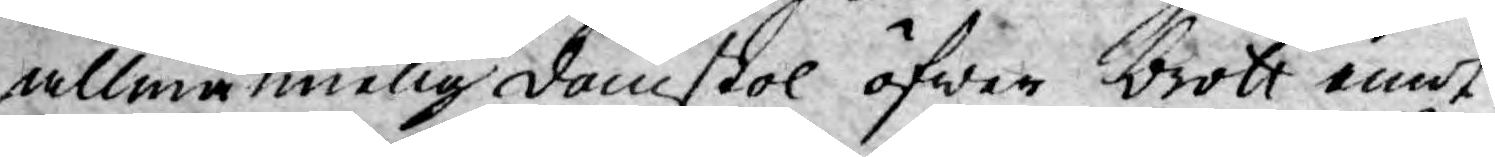allmännelig domstol öfwer brott emot
